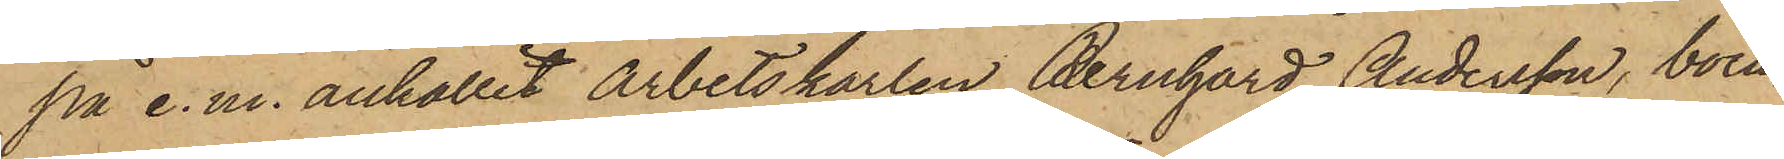på e. m. anhållit arbetskarlen Bernhard Andersson, boen¬
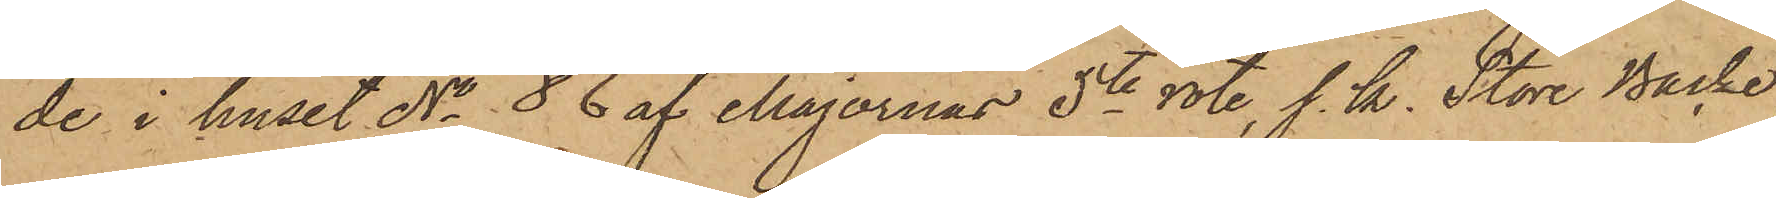de i huset No 86 af Majornas 5te rote, s. k. Stora Backe,
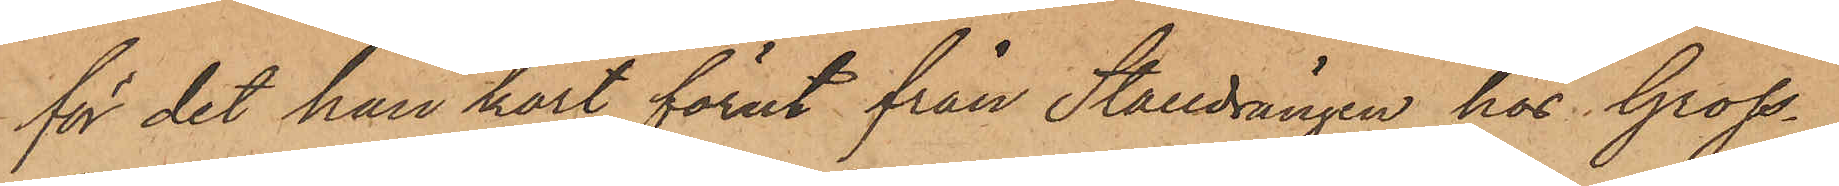för det han kort förut från Stalldrängen hos Gross¬
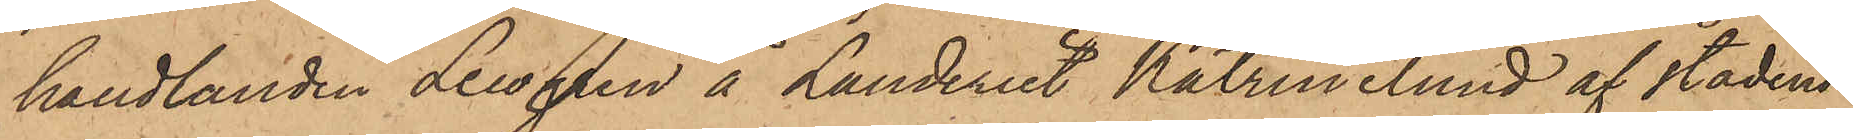handlanden Lewgren å Landeriet Katrinelund af stadens
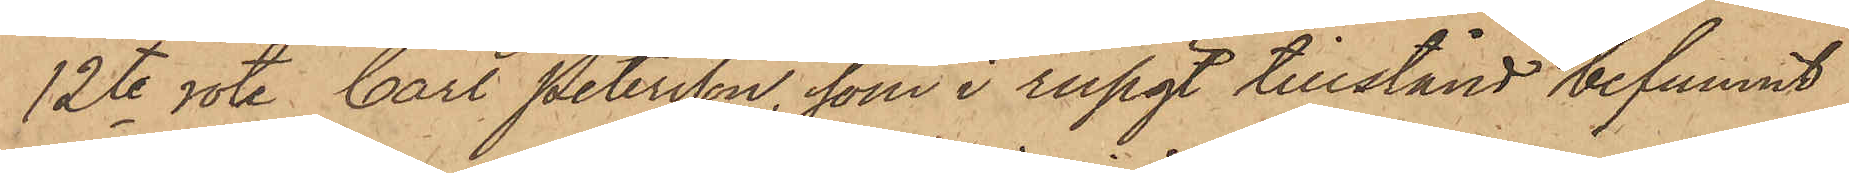12te rote Carl Petersson, som i rusigt tillstånd befunnit
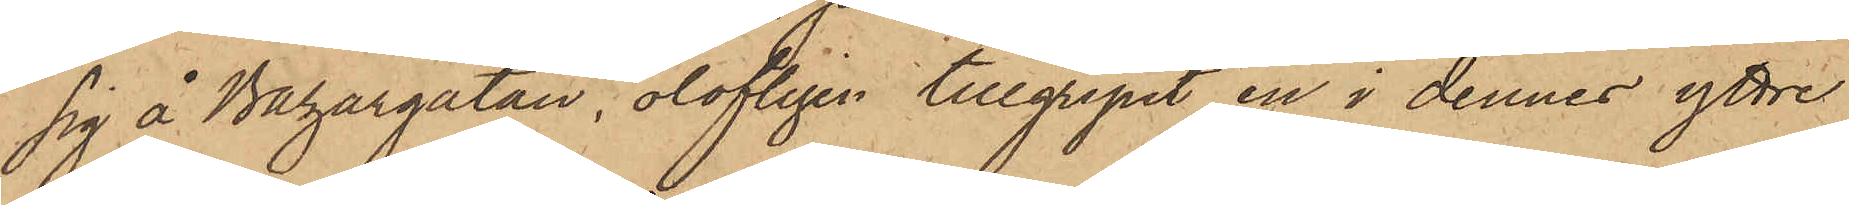sig å Bazargatan, olofligen tillgripit en i dennes yttre
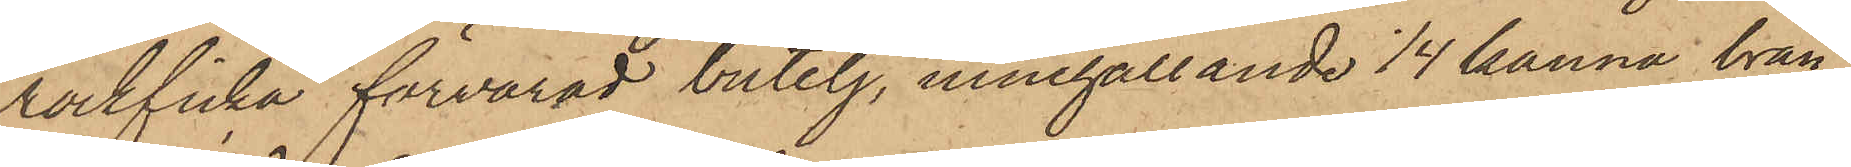rockficka förvarad butelj, innehållande 1/4 kanna bränn¬
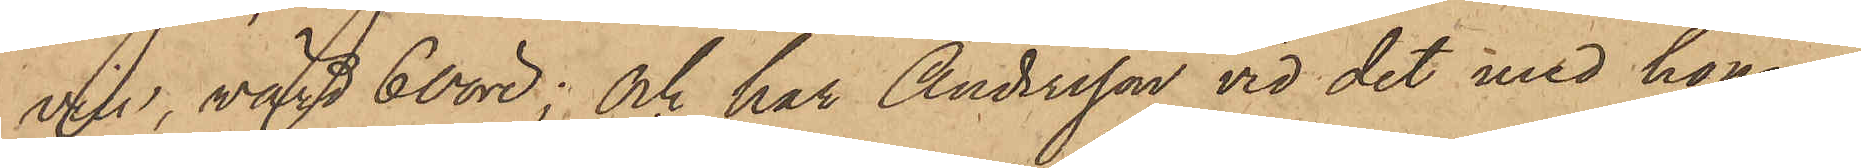vin, värd 60 öre; och har Andersson vid det med honom
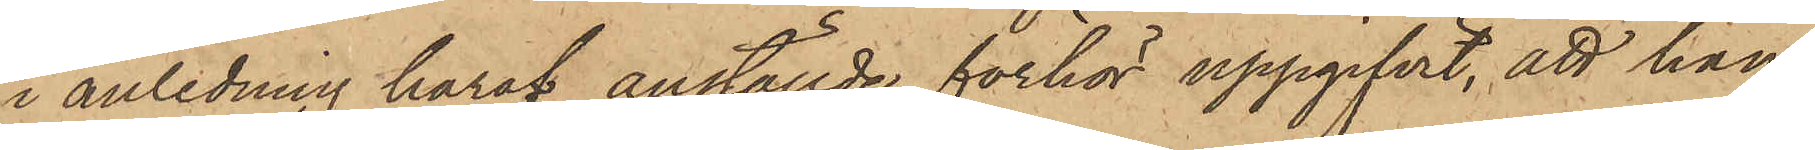i anledning häraf anställde förhör uppgifvit, att han,
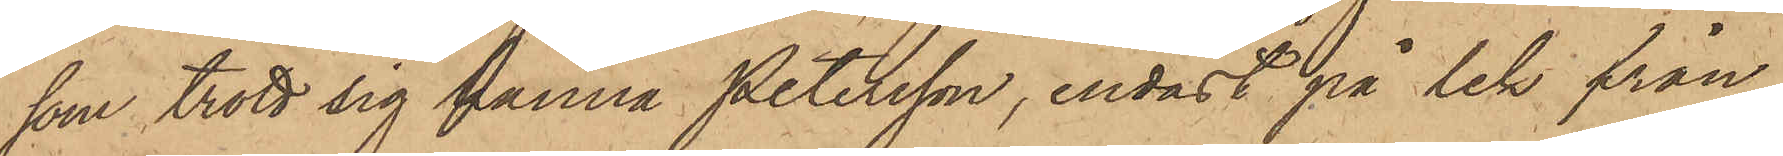som trott sig känna Petersson, endast på lek från
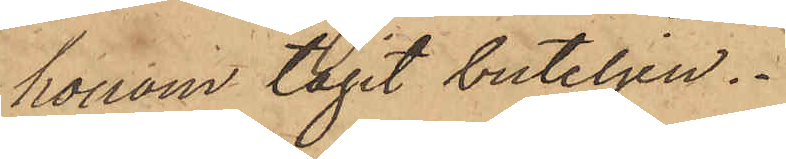honom tagit buteljen.
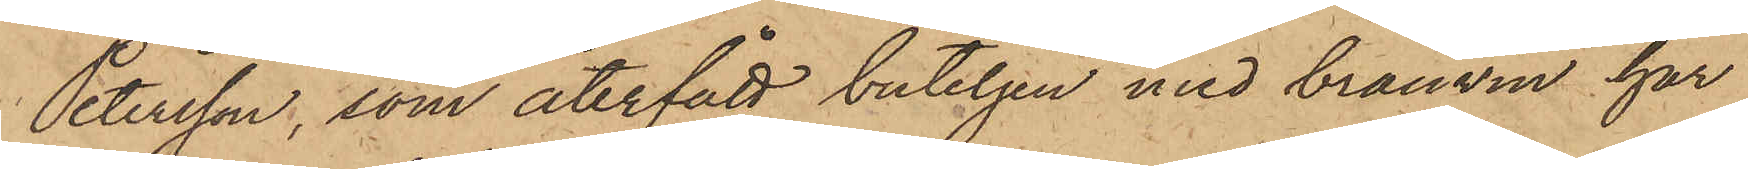Petersson, som återfått buteljen med brännvin, har
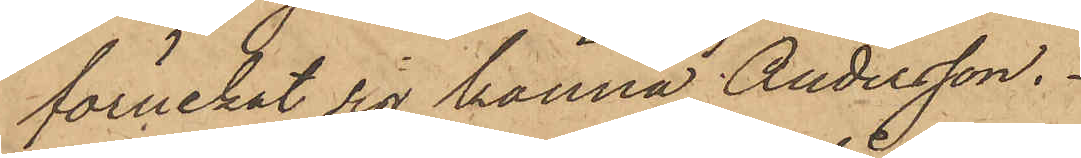förnekat sig känna Andersson.
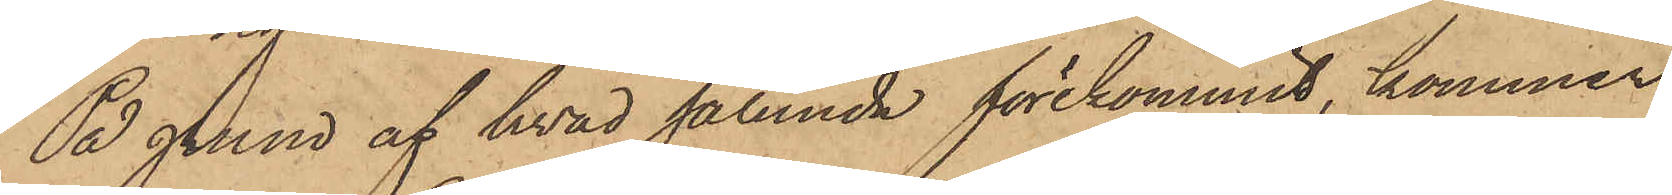På grund af hvad sålunda förekommit, kommer
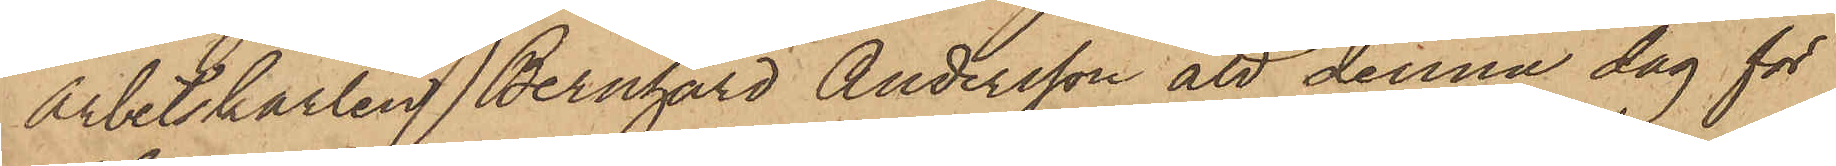arbetskarlen Bernhard Andersson att denna dag för
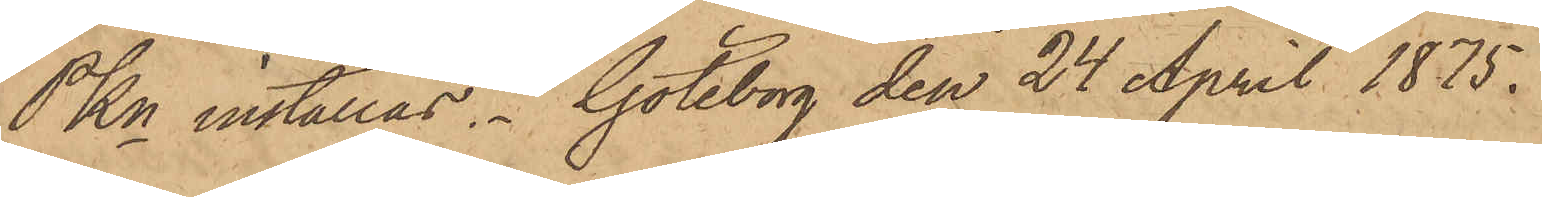PKn inställas. Göteborg den 24 April 1875.
